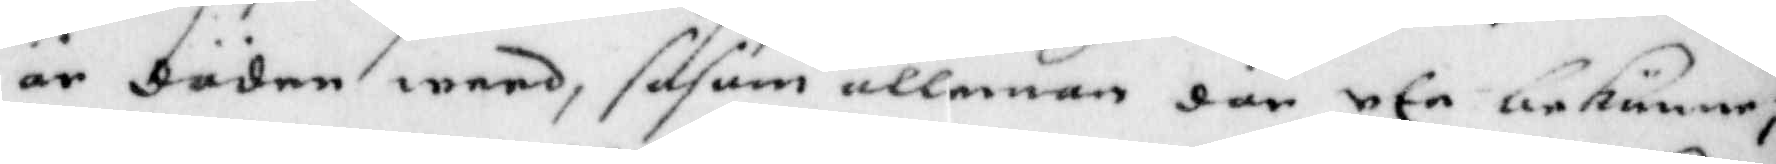är döden wärd, såsom allennan där ute bekänner;
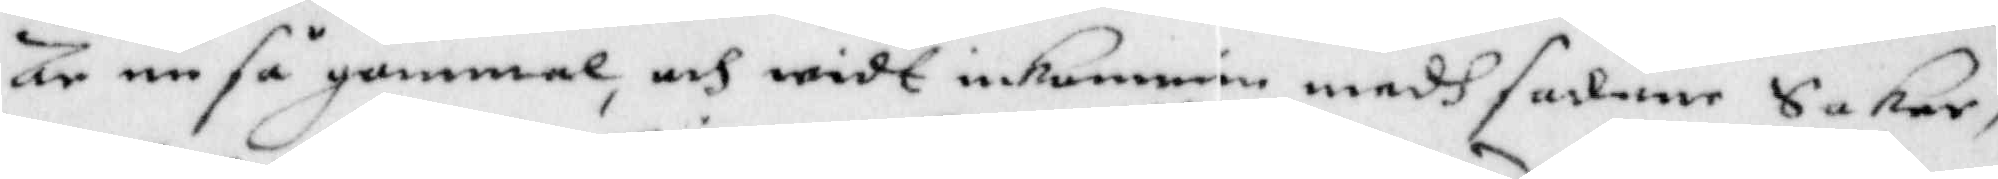är nu så gammal, och widt inkommin medh sådane Saker,
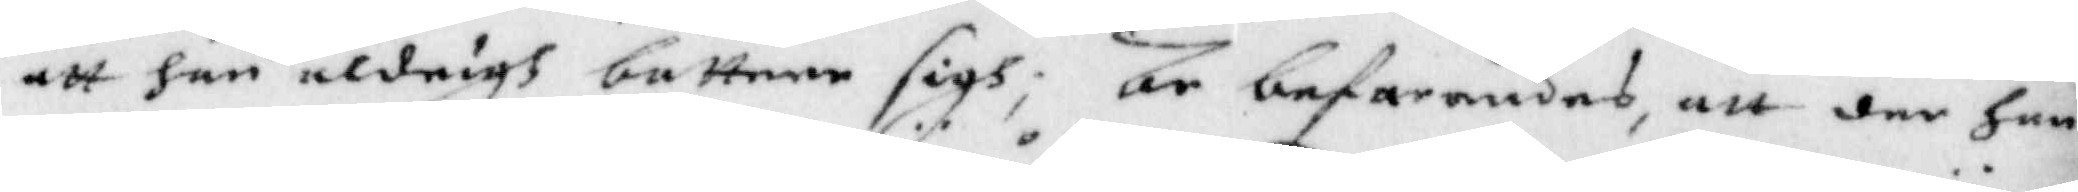att han aldrigh bättrer sigh; är befarandes, att der han
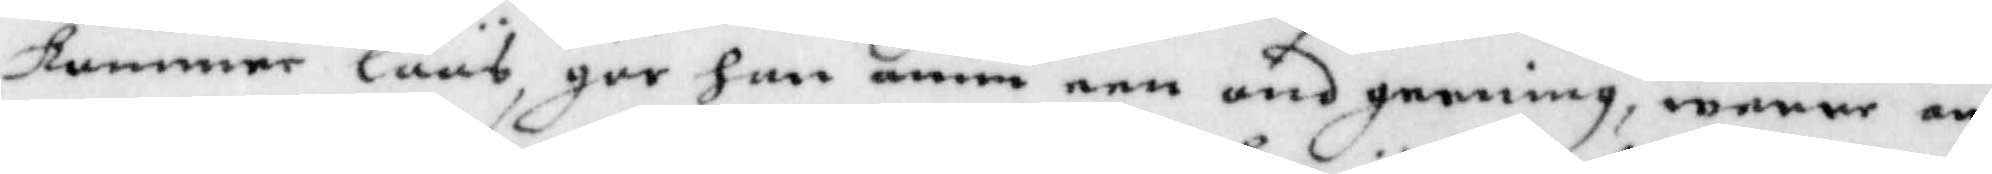kommer löös, gör han ännå een ond gerning, werre än
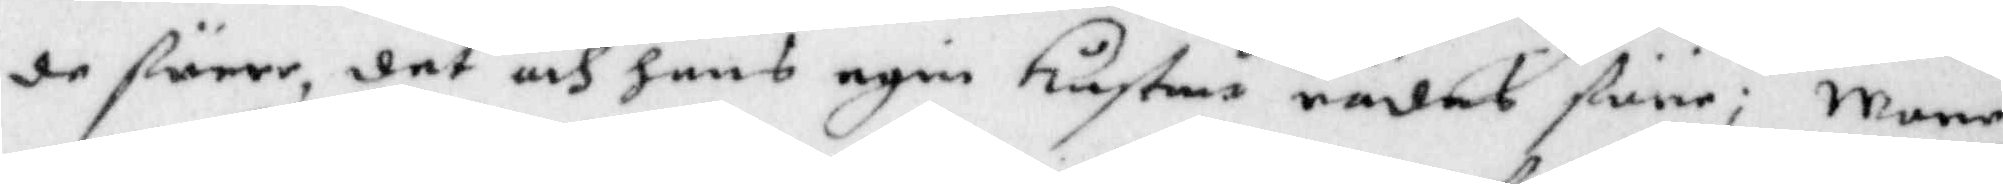de förre, det och hans egin Hustru rädes före; Mone
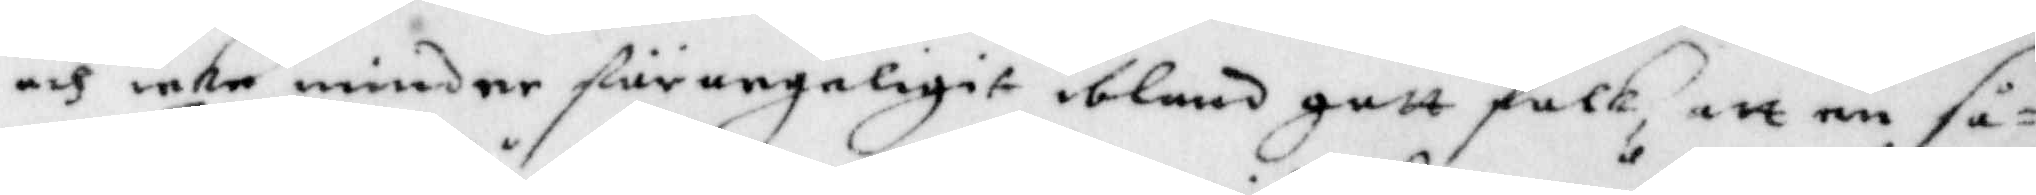och icke mindre förungeligit ibland gott folk, att en så¬
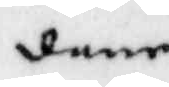dane
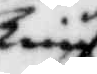Tiuf
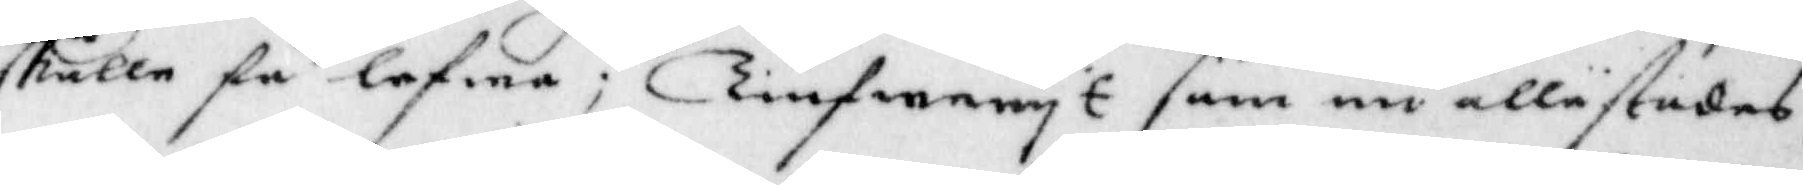skulle få lefwa; Tiufweryt som nu allestodes,
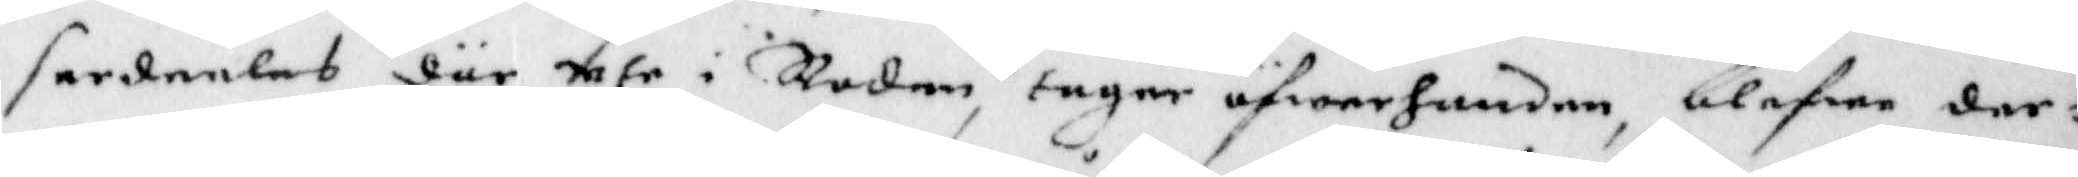serdeeles där ute i Roden, tager öfwerhanden, blefwe der¬
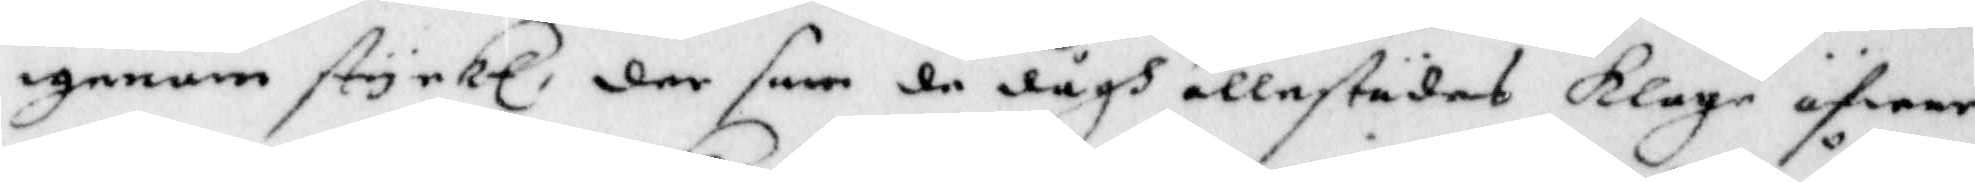igenom styrkt, der som de dågh allestädes Klag öfwer
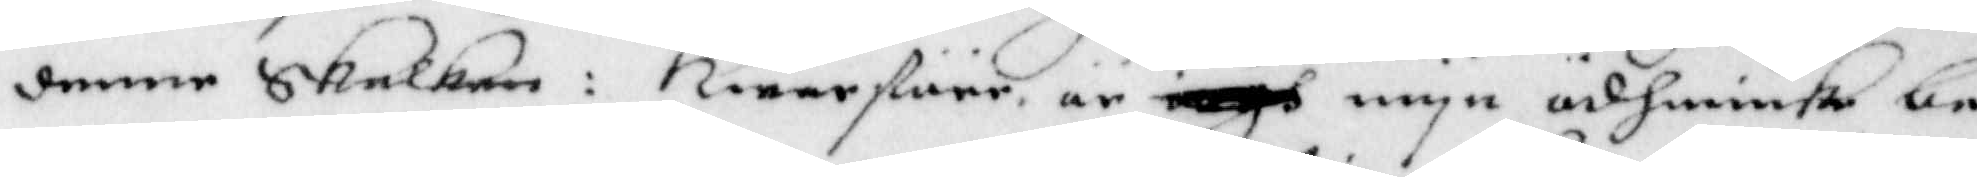denne Skalken: Hwarföre är iagh myn ösmiuke be¬
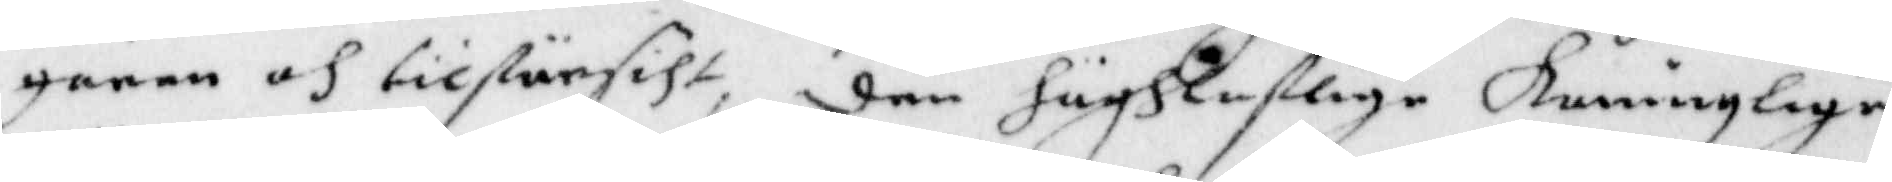geran och tilförsiht, den höghloflige koninglige
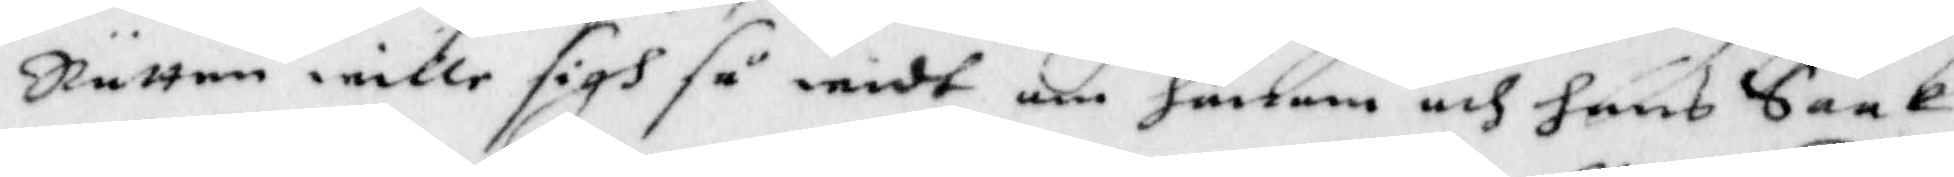Rätten wille sigh så widt om gonom och hans Saak
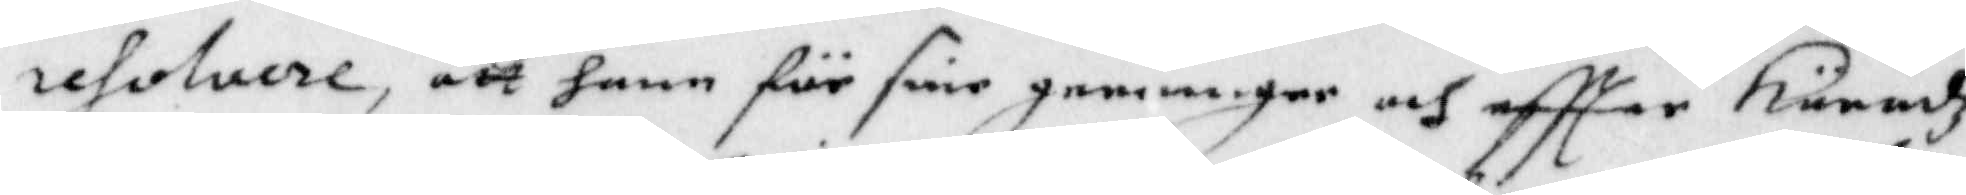resolvere, att hann för sine gerninger och eftter häradz
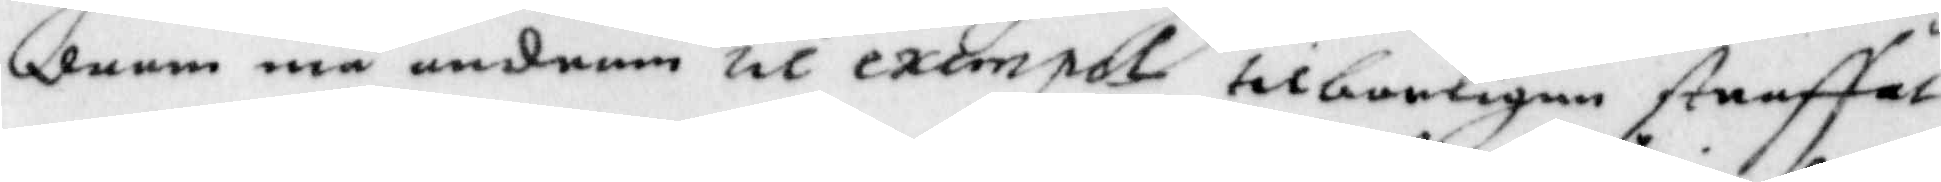doom må androm til exempel tilbarligen straffat
